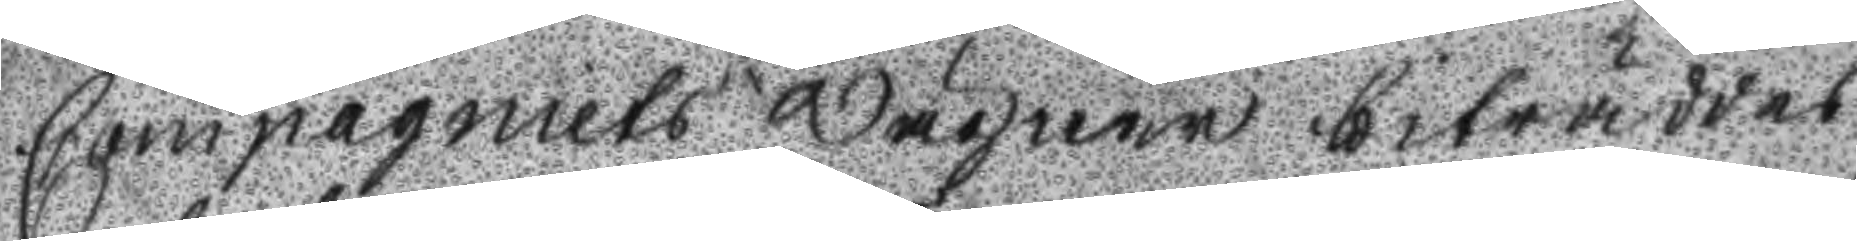Compagniets wägnar biträddes
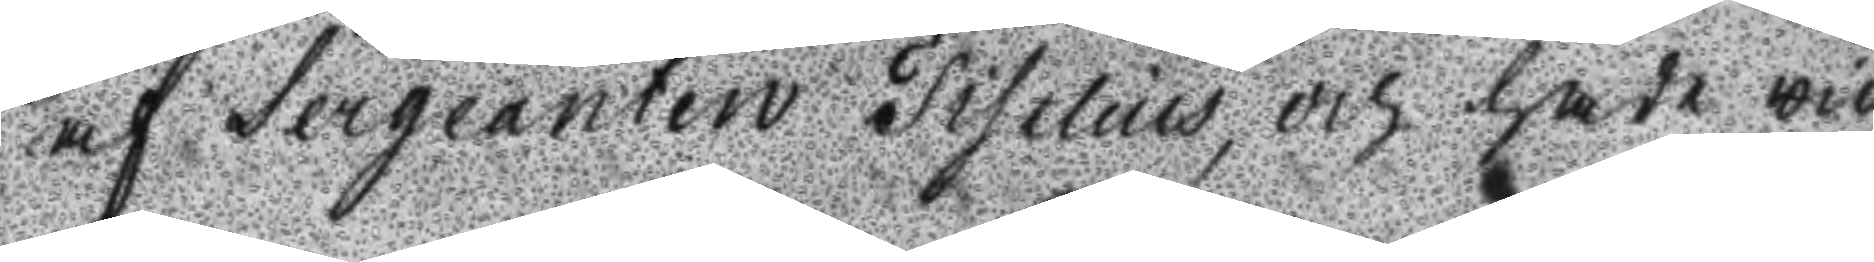af Sergeanten Fiselius och hade wid
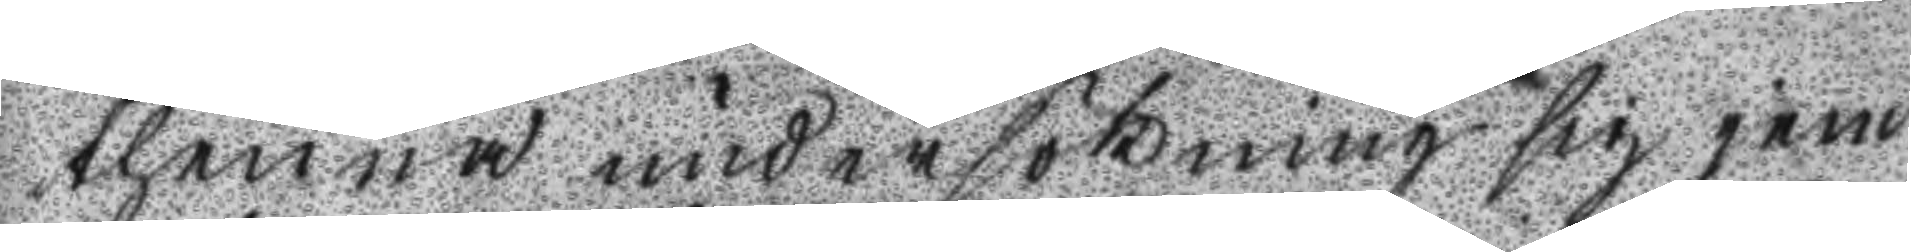thenna undersökning sig jem
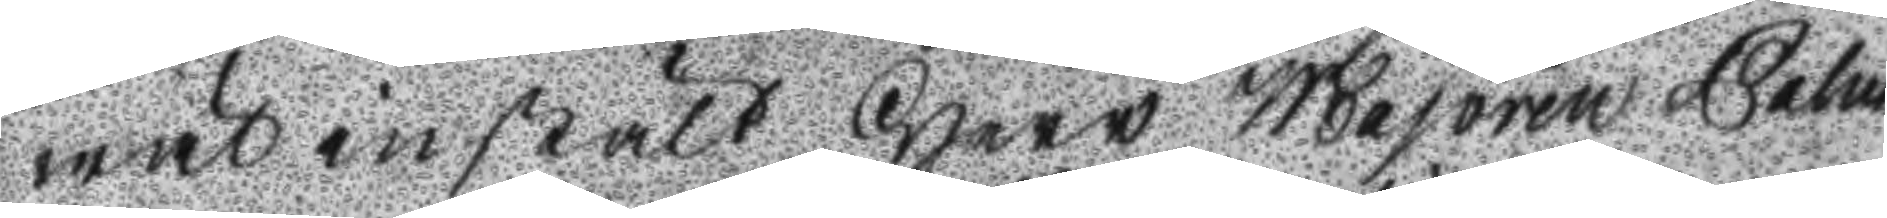wäl instält Herr Majoren Palm
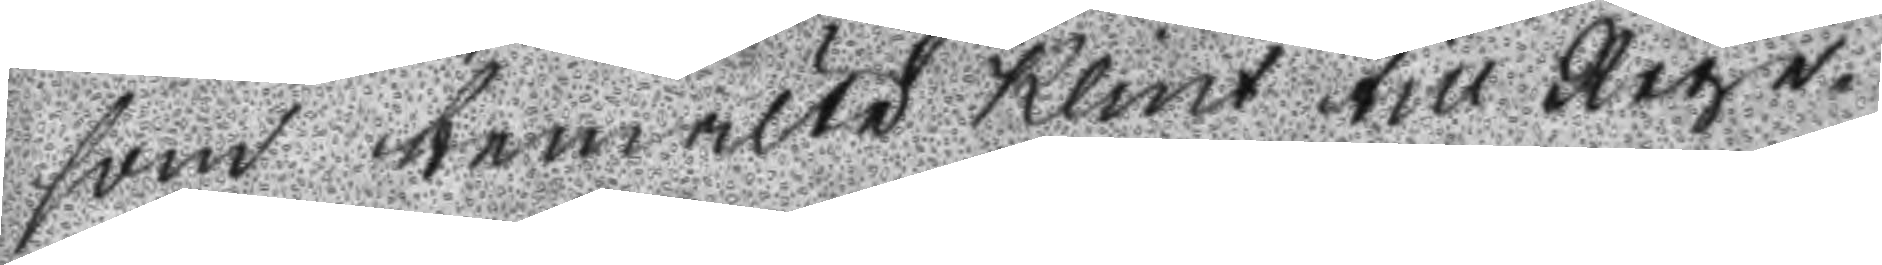som bemälte Klint till Rege¬
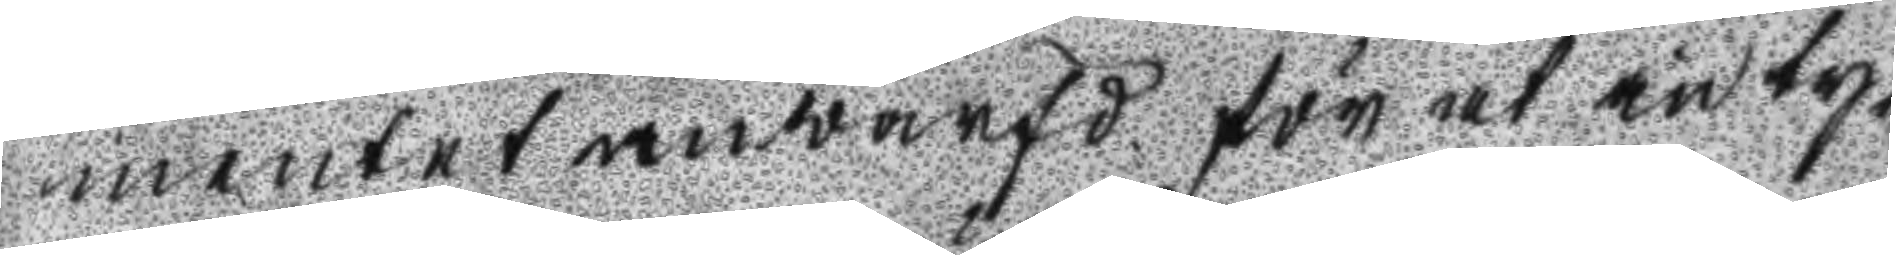mentet anwarfd för at inty¬
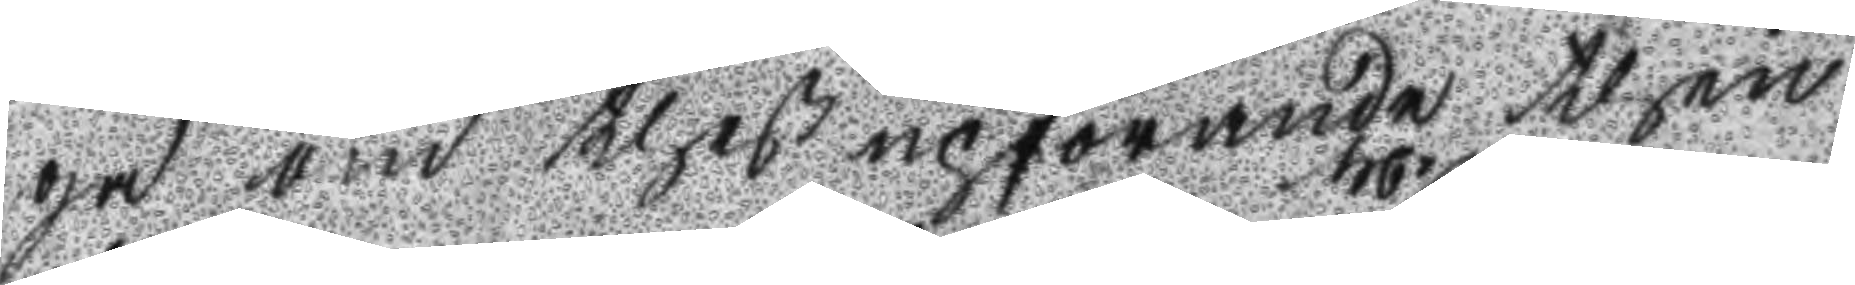ga om theß upförande then
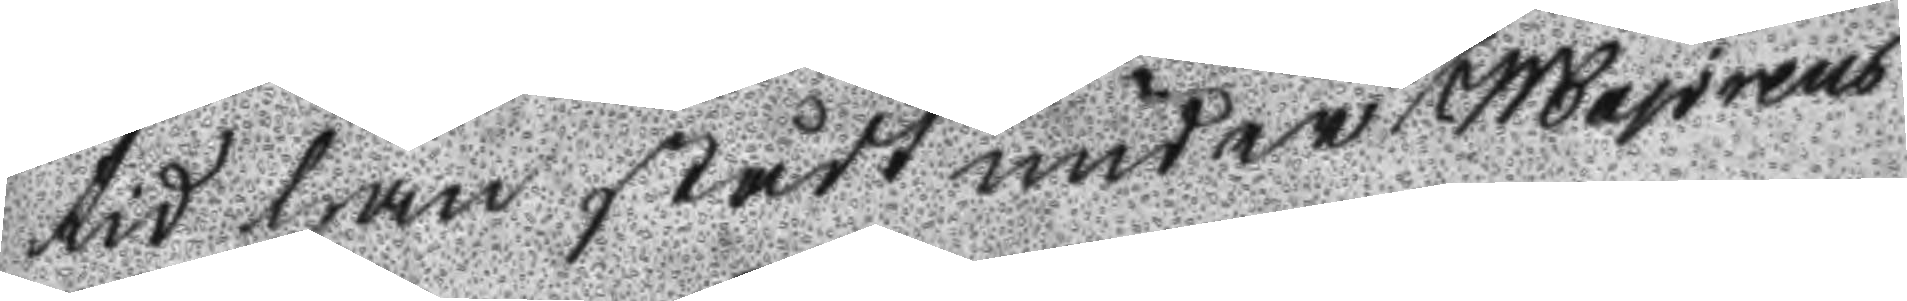tid han stådt under majorens
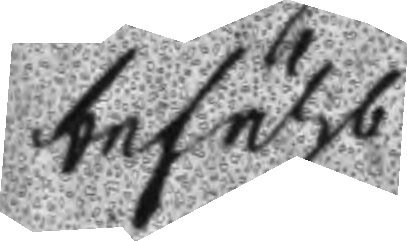befähl.
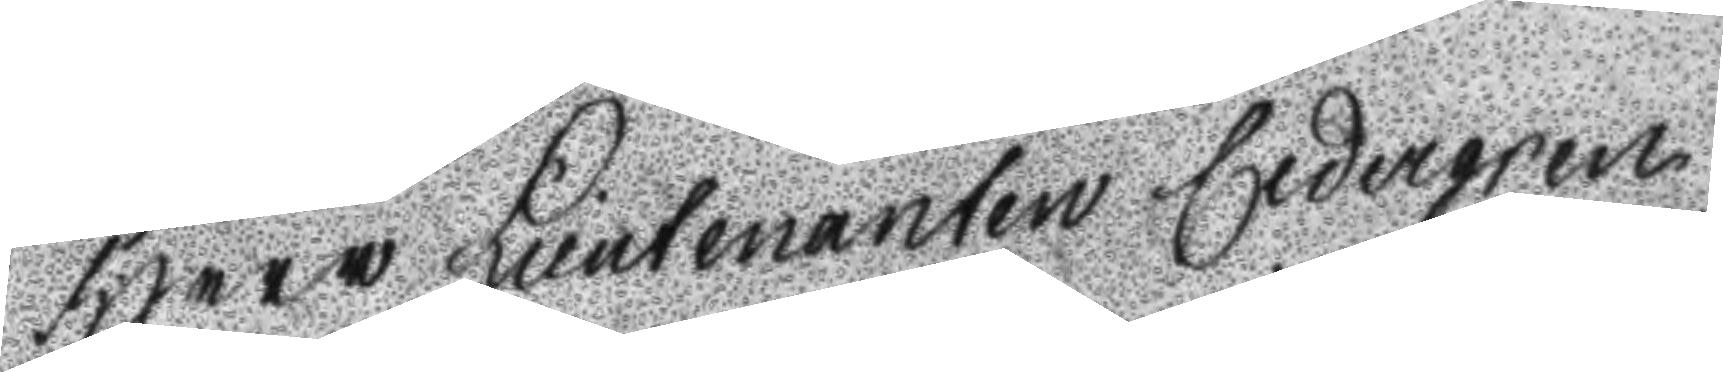Herr Lieutenanten Cedergren
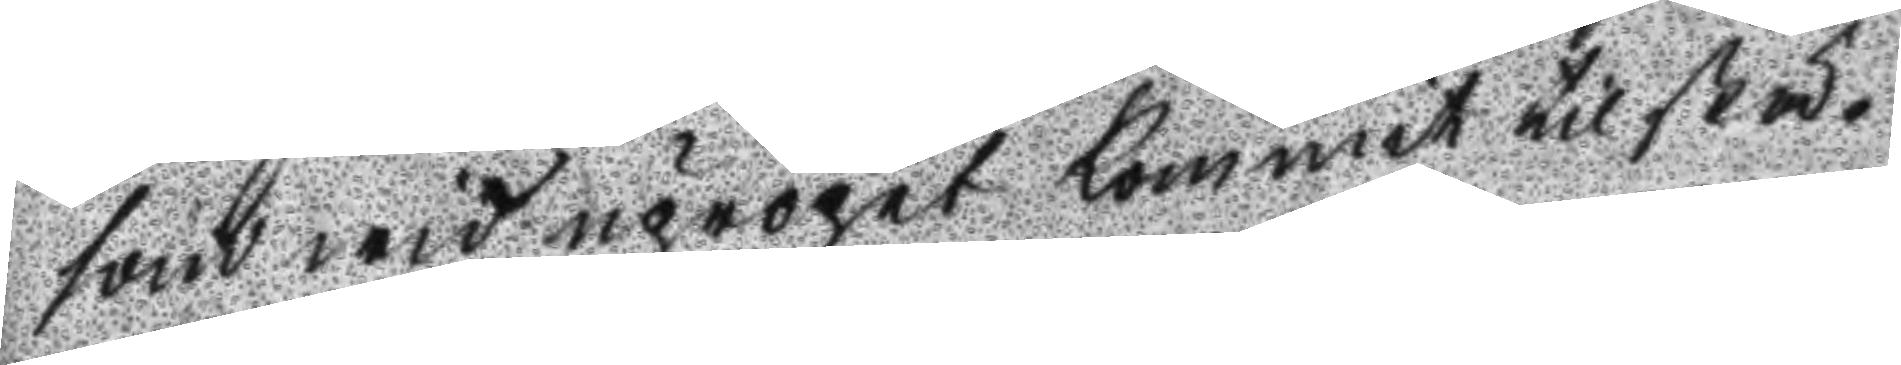som wid upropet kommit tilstä¬
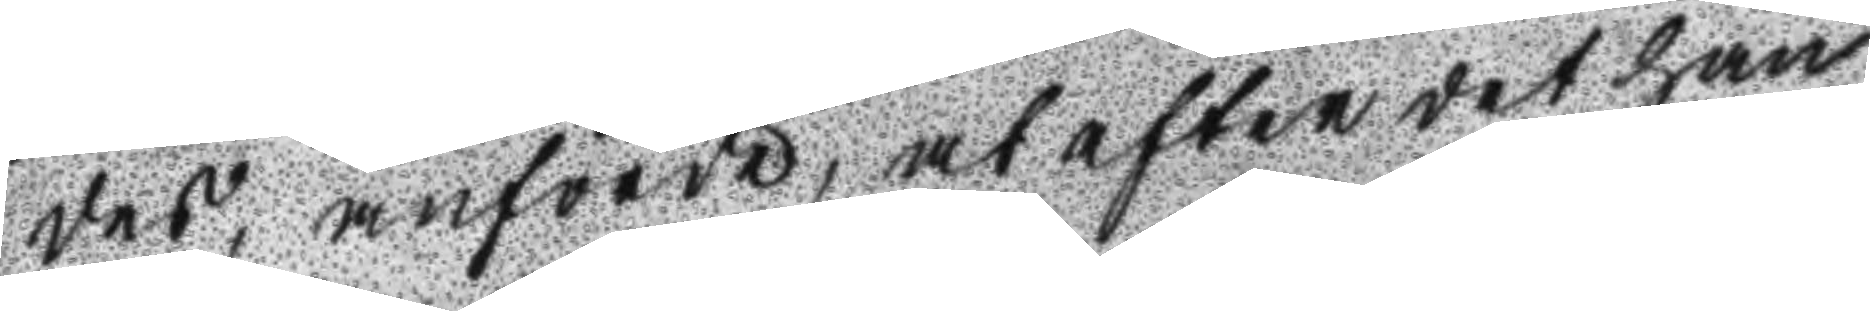des, anförde, at efter det han
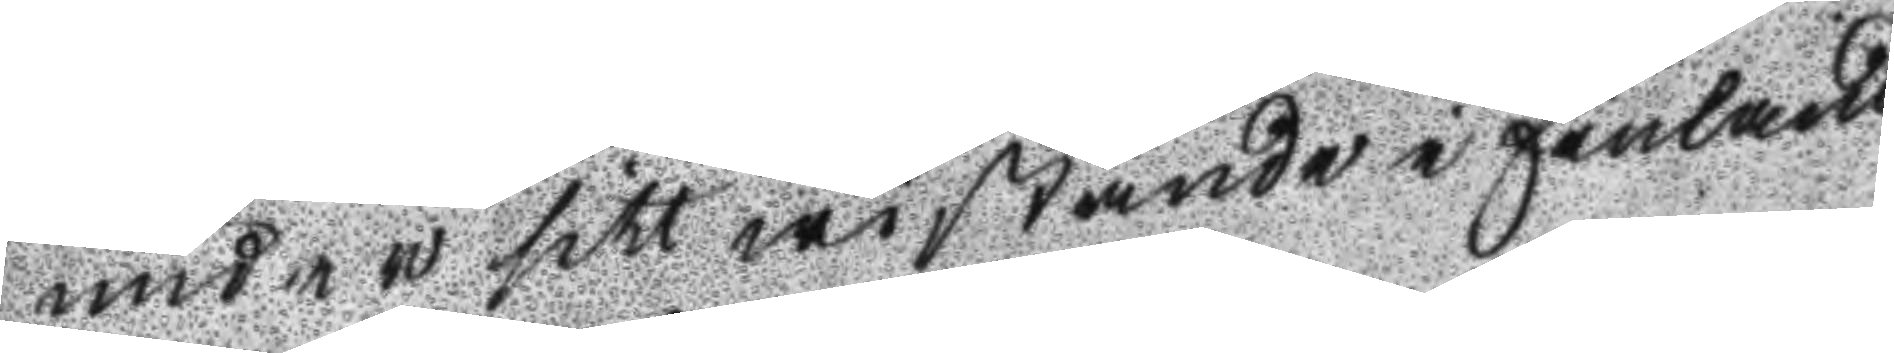under sitt wistande i Finland
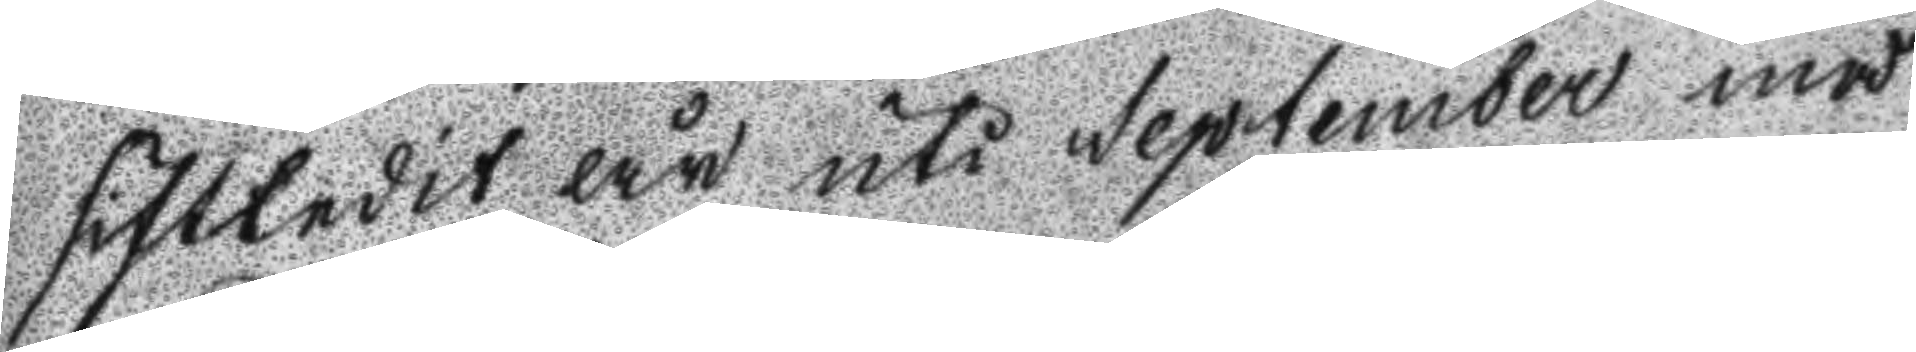sistlidet år uti September må
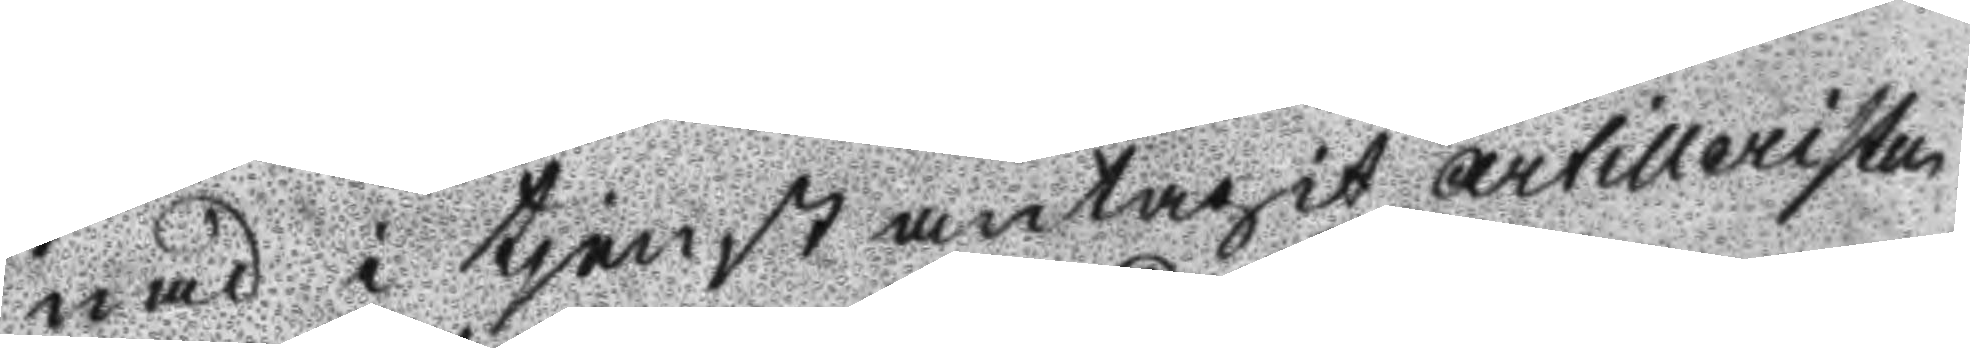nad i tjenst antagit artilleristen
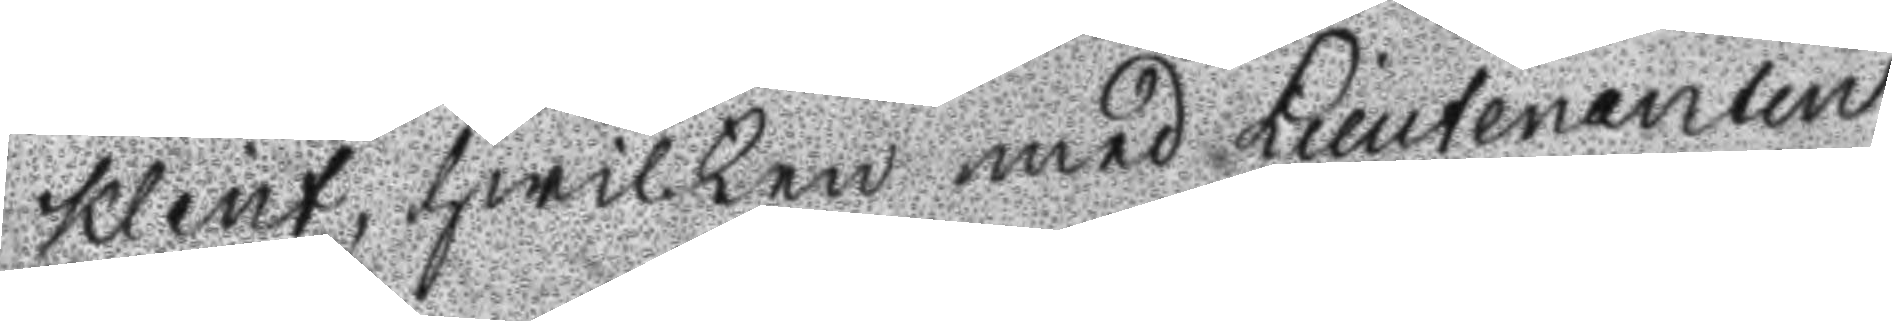Klint, hwilken med Lieutenanten
